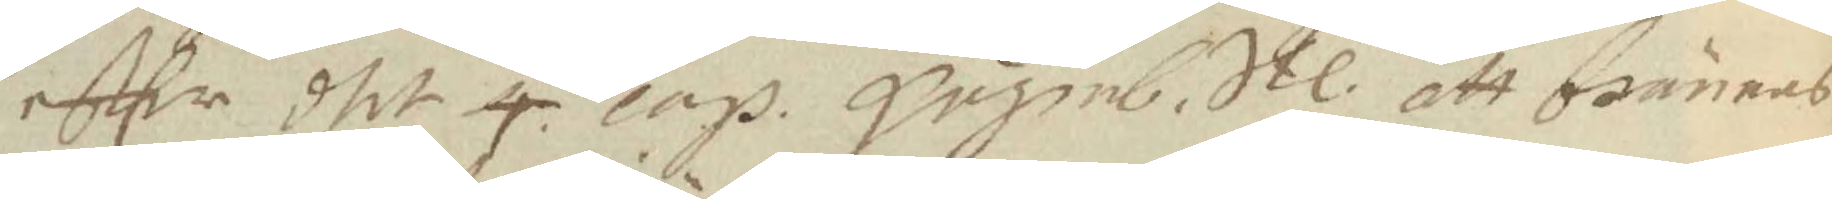eftter dhet 4 cap. Gujmb. Stl. att brännas 
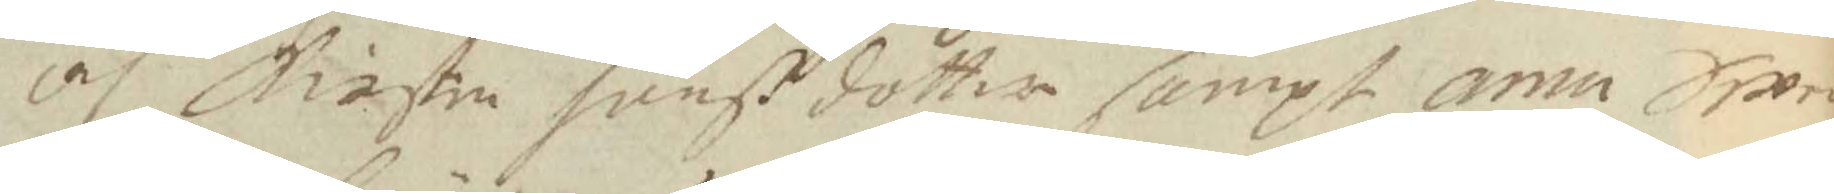och Kirstin Jönßdotter sampt annu Swen
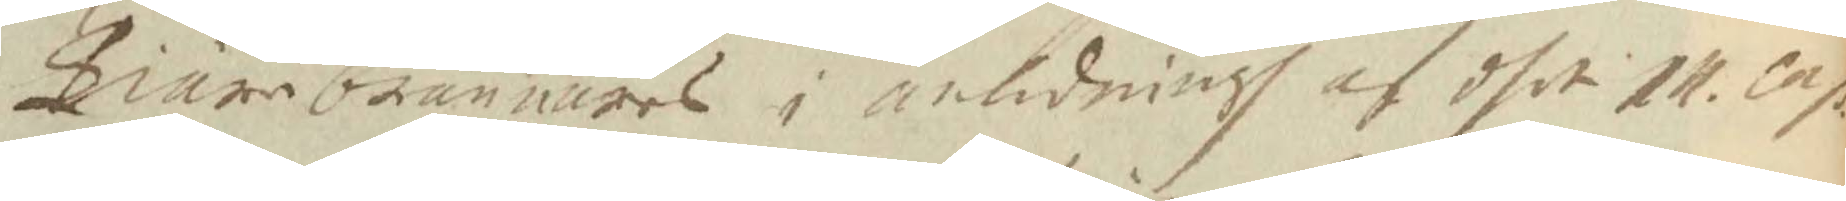Tiärebrännares i anledningh af dhet 14 cap.
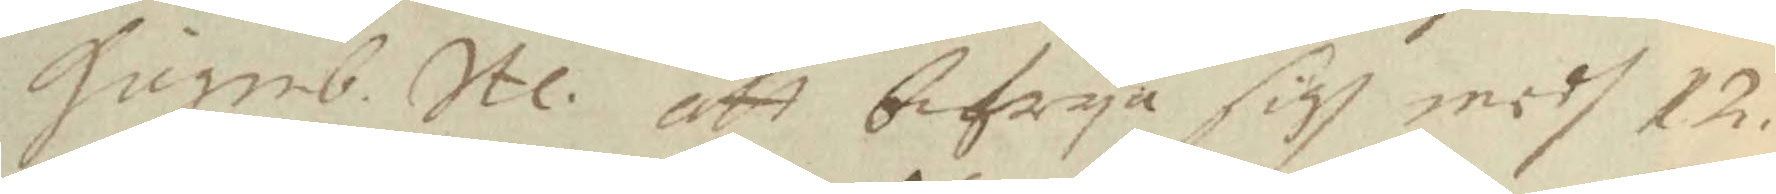Gujmb. Stl. att bifrya sigh midh 12.
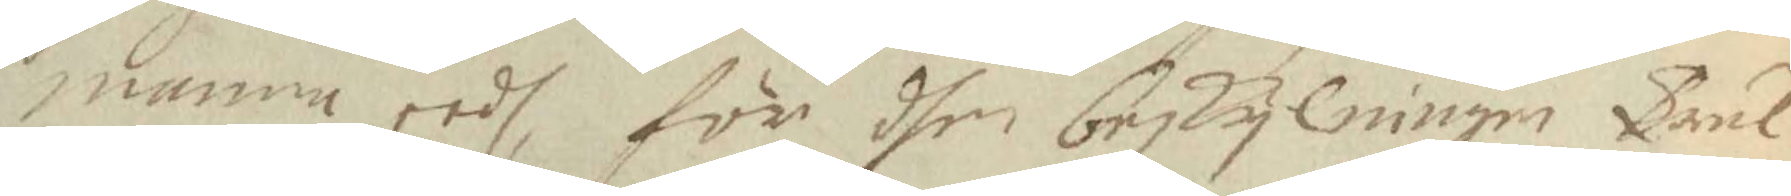manna eedh, för dhen beskylningen Trul¬
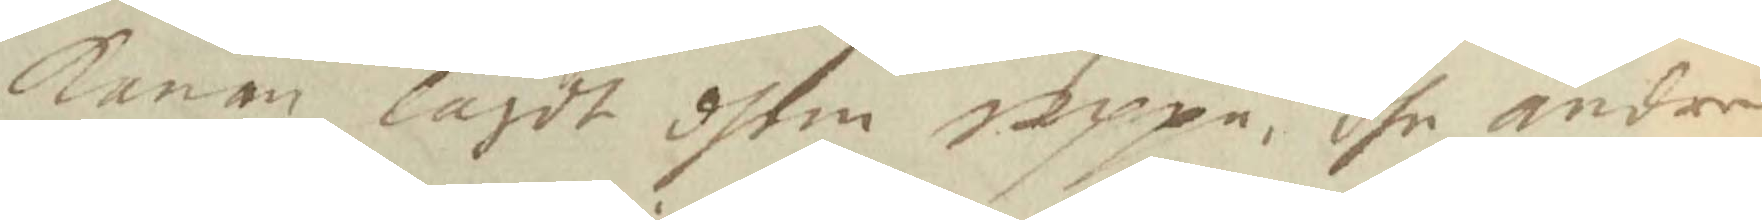konan lagdt dhem uppå, dhe andre
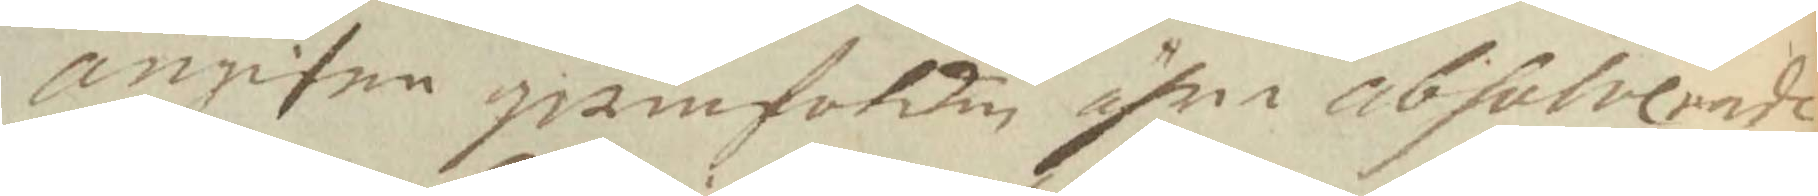angifne qwinfolken ähre absolverade
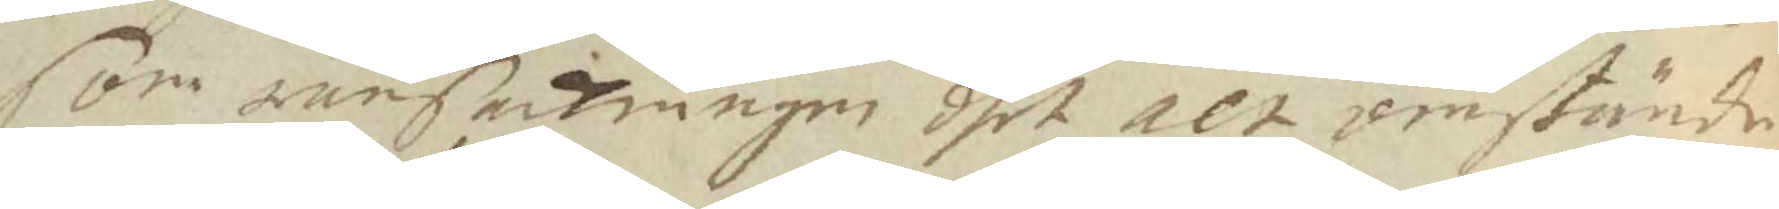som rersakningen dhet alt omstände¬
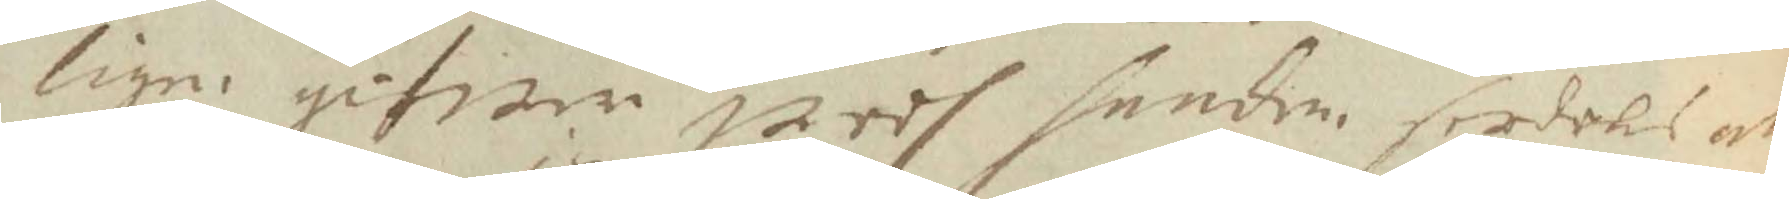ligen gifwer wedh handen serdels att
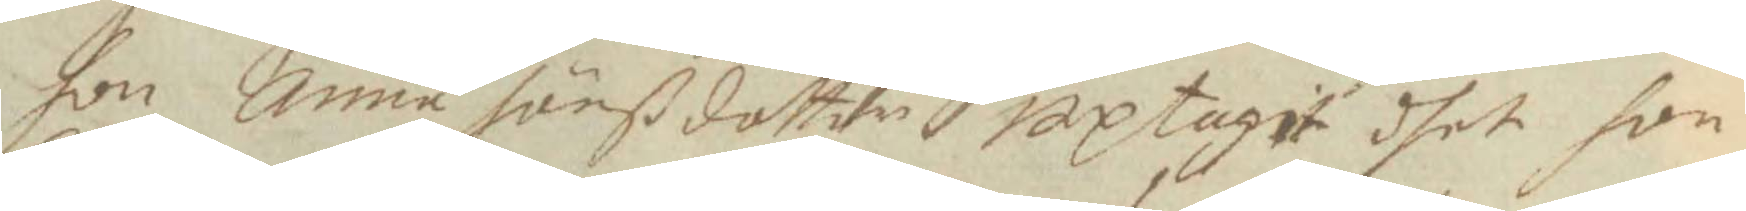hon Anna Jönßdotter uptagit dhet hon
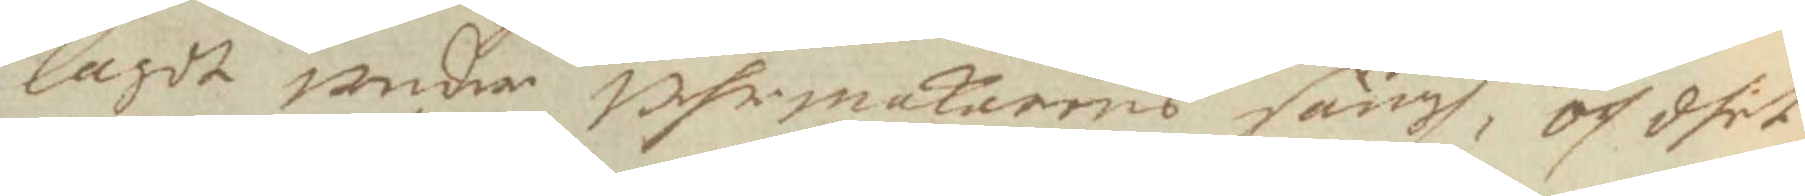lagdt under uhrmakarens sängh, och dhet
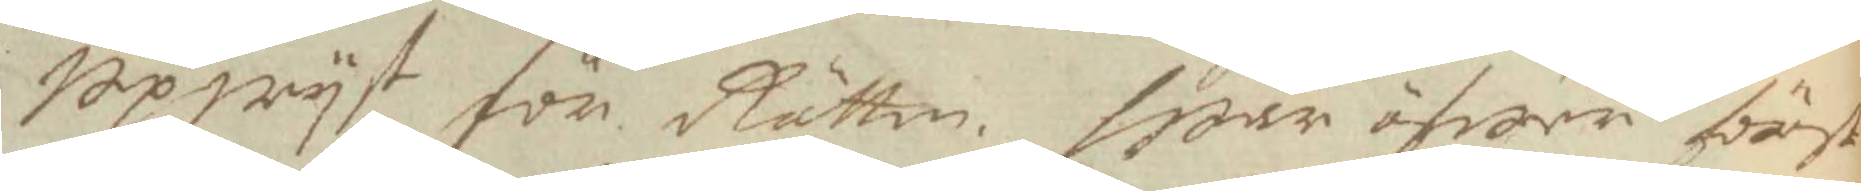Upwyst för Rätten. War öfwer först
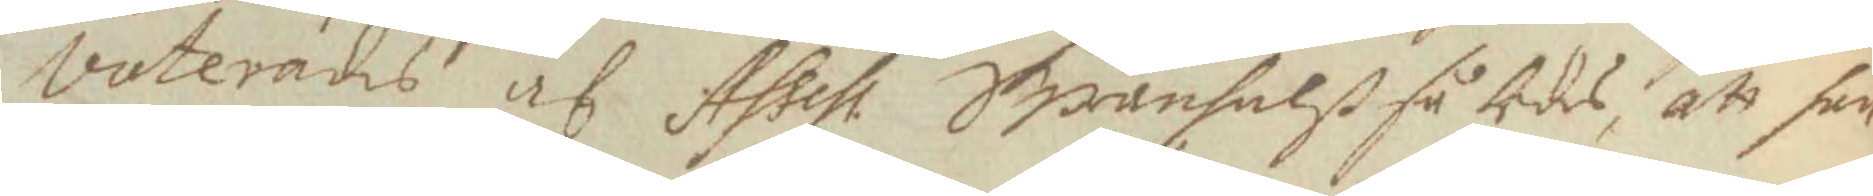voterades af Assess. Swanhalß således, att han
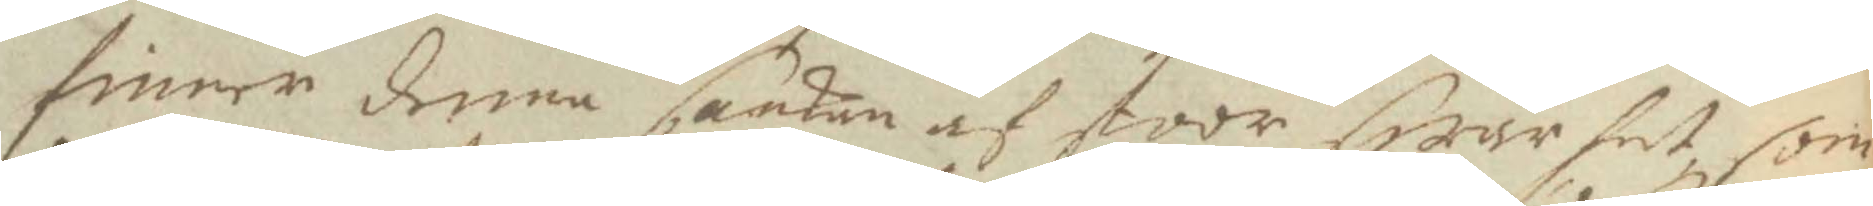finner denna saaken af stoor swårhet, som
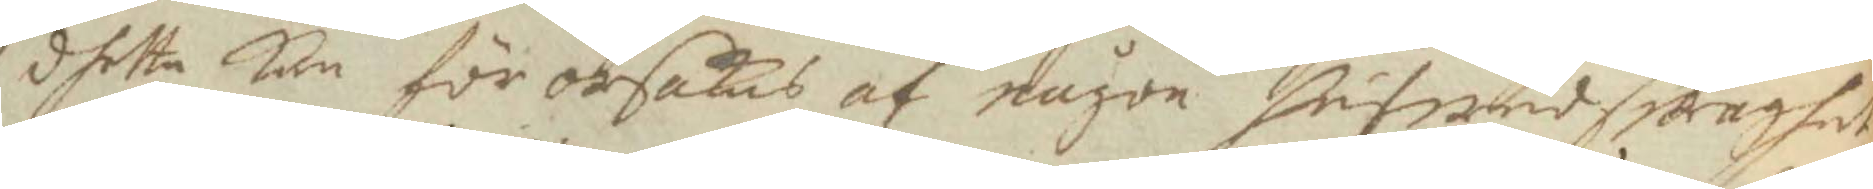dhetta kan för orsakas af någon hufwudswaghet
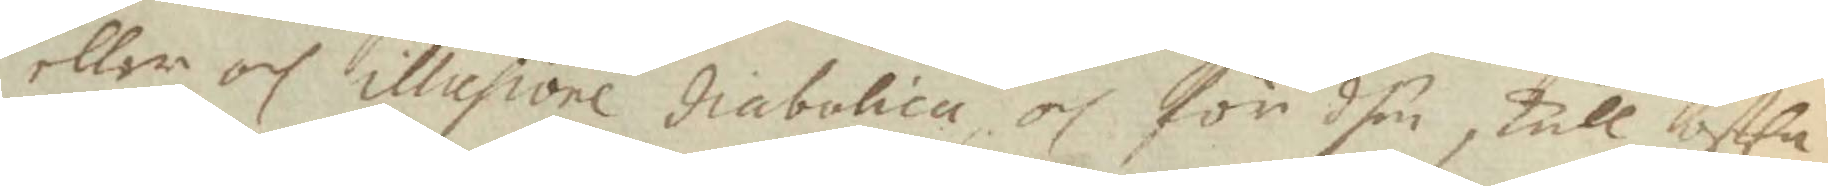eller och illusione diabolica, och för dhen skull offta
